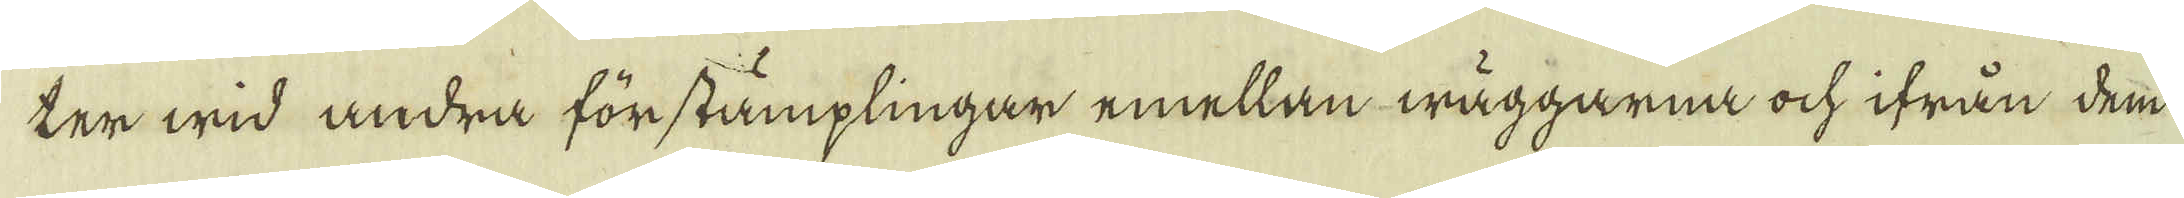ter wid andra förstämplingar emellan wäggarna och ifrån dem
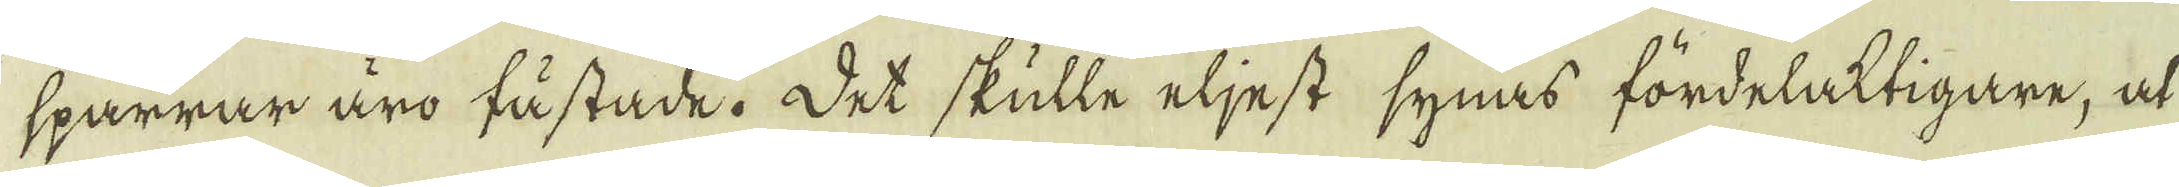sparrar äro fästade. Det skulle eljest synas fördelaktigare, at
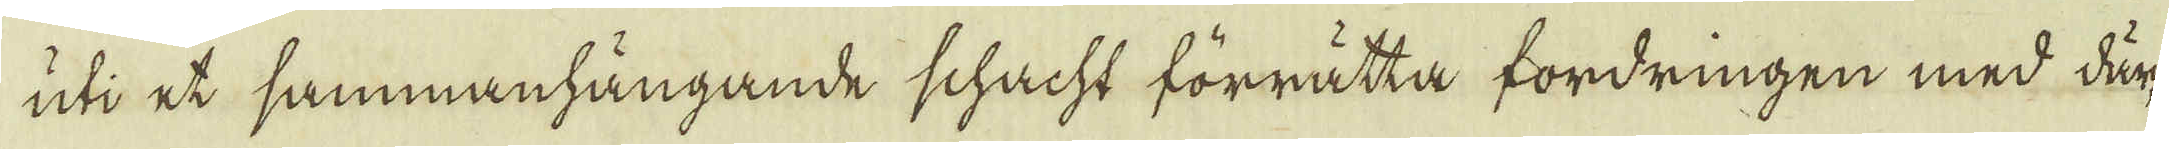uti et sammanhängande schacht förrätta fordringen med där-
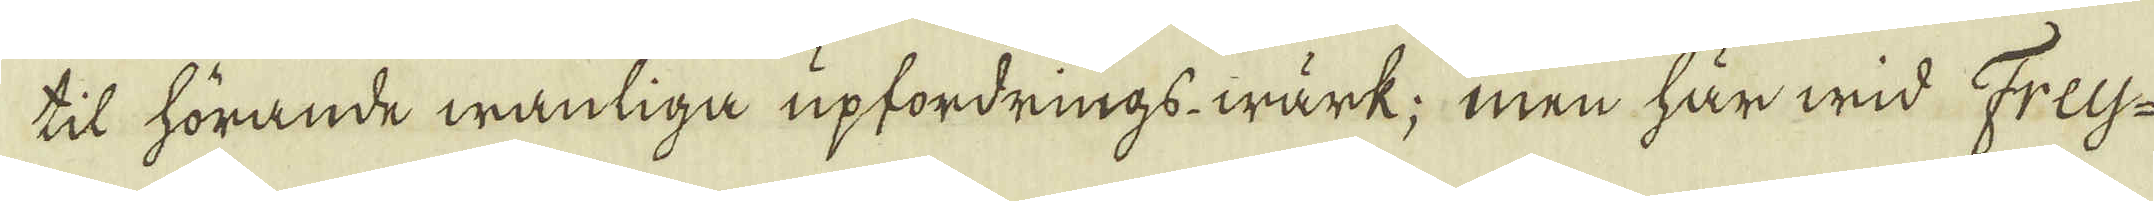til hörande wanliga upfordrings wärk; men här wid Frey-
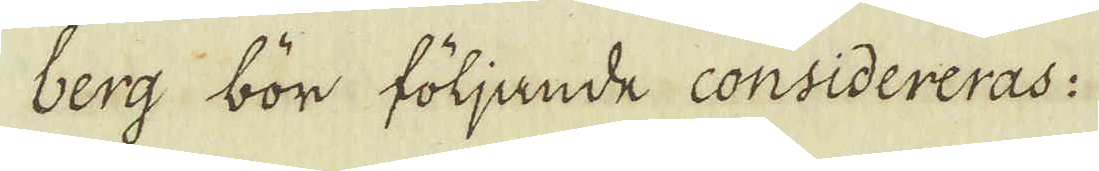berg bör följande considereras:
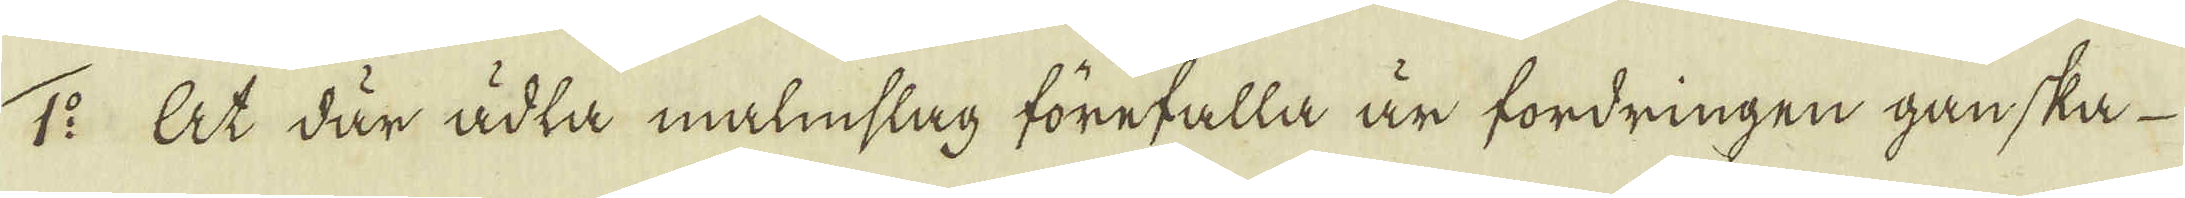1:o At där ädla malmslag förefalla är fordringen ganska
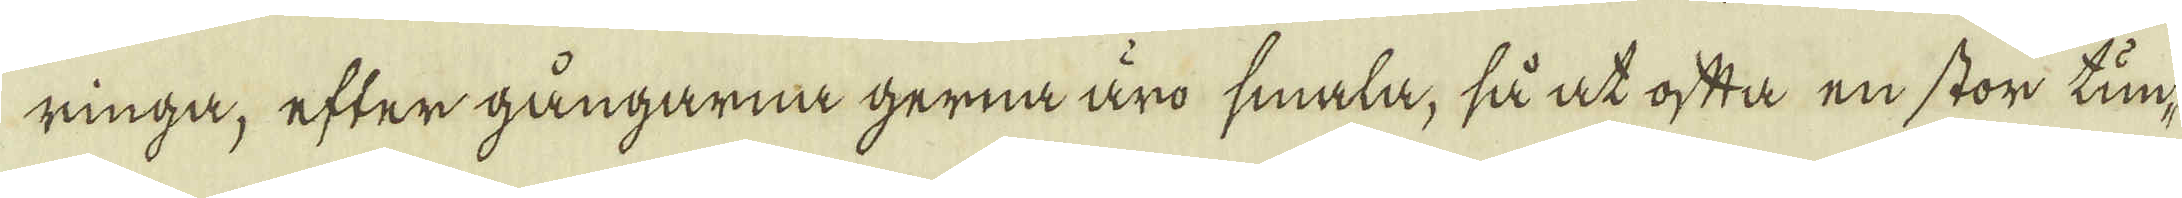ringa, efter gångarna gerna äro smala, så at ofta en stor tun-
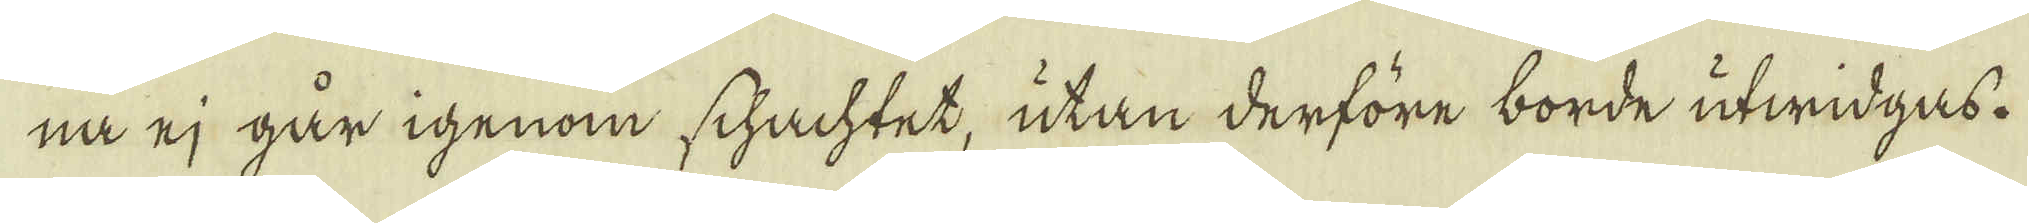na ej går igenom schachtet, utan derföre borde utwidgas.
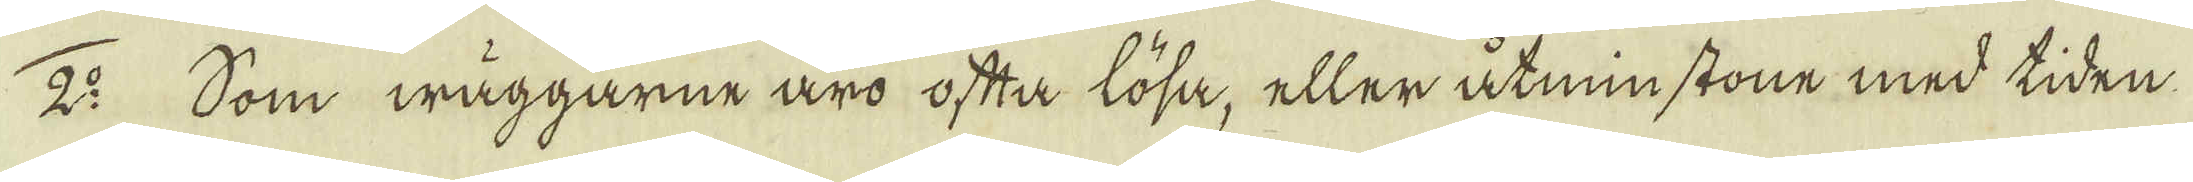2:o Som wäggarne äro ofta lösa, eller åtminstone med tiden
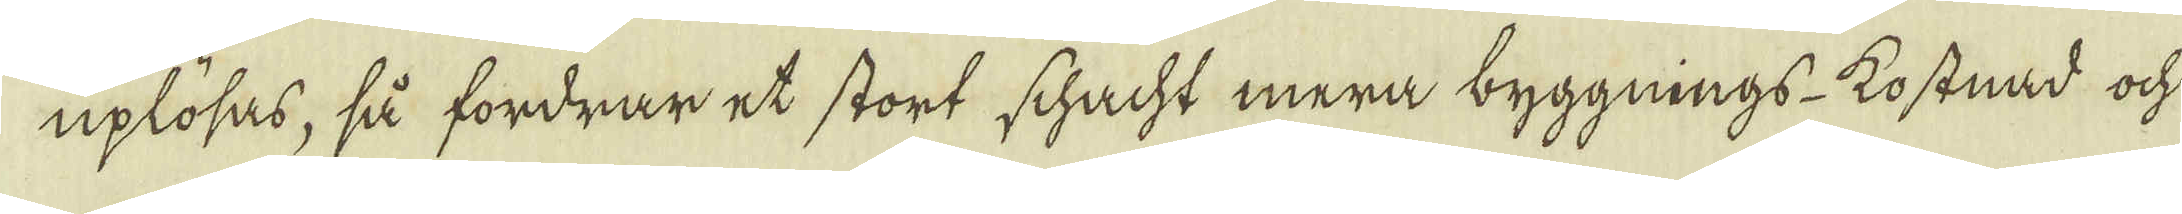uplösas, så fordrar et stort schacht mera byggnings kostnad ock
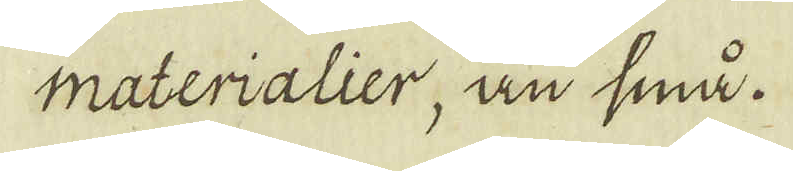materialier, än små.
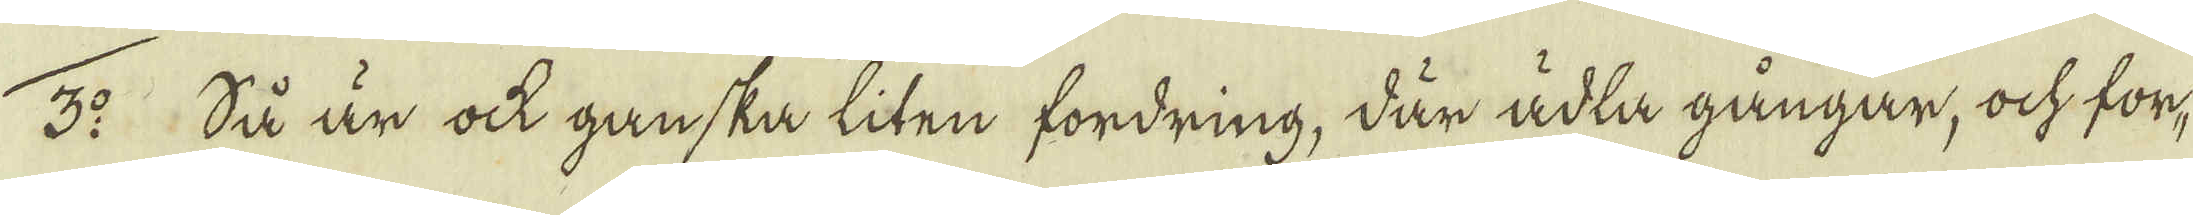3:o Så är ock ganska liten fordring, där ädla gångar, ock for-
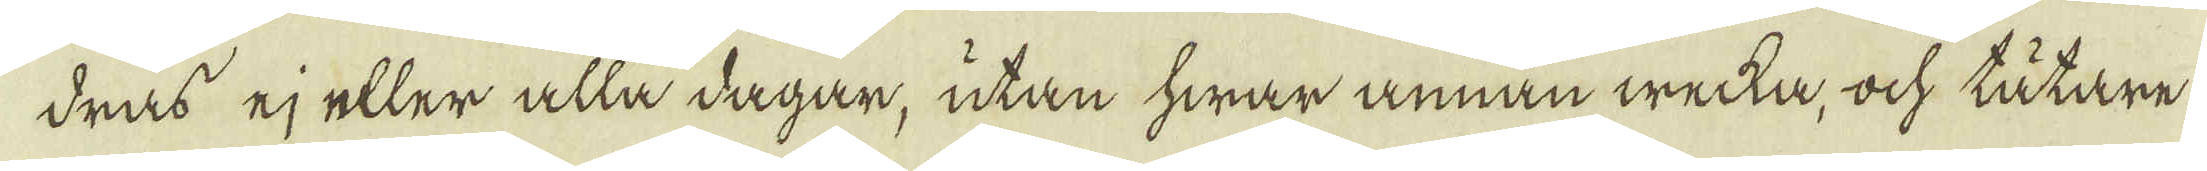dras ej eller alla dagar, utan hwar annan wecka, ock tätare
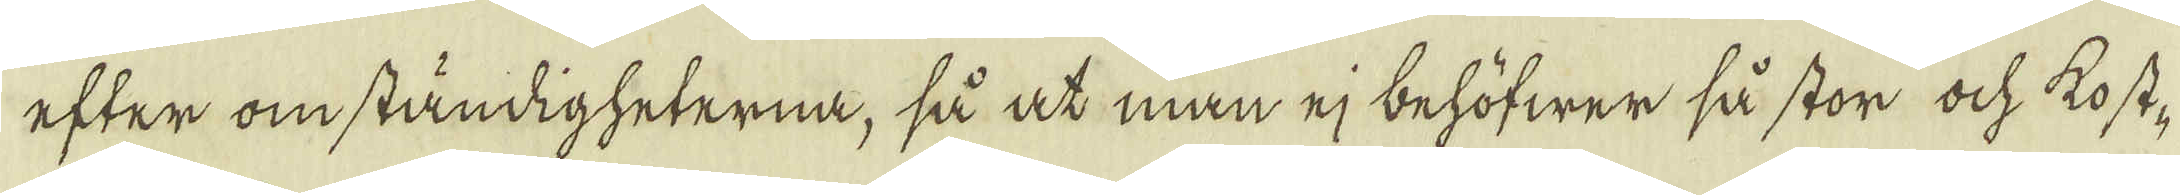efter omständigheterna, så at man ej behöfwer så stor ock kost-
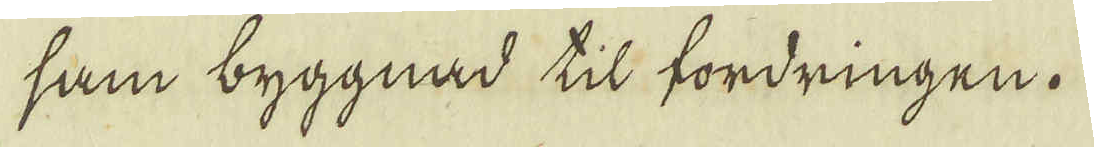sam byggnad til fordringen.
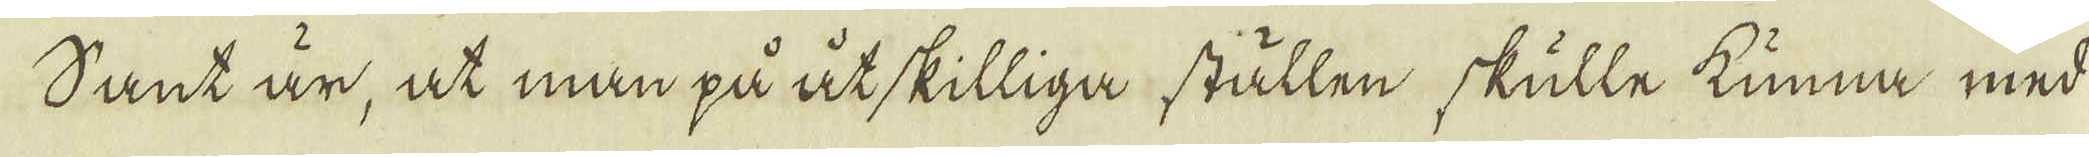Sant är, at man på åtskilliga ställen skulle kunna med
